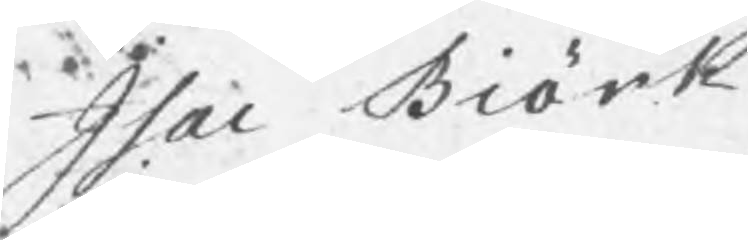Isac Biörk
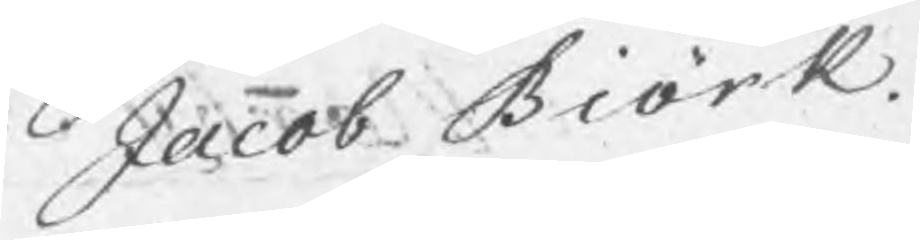Jacob Biörk.
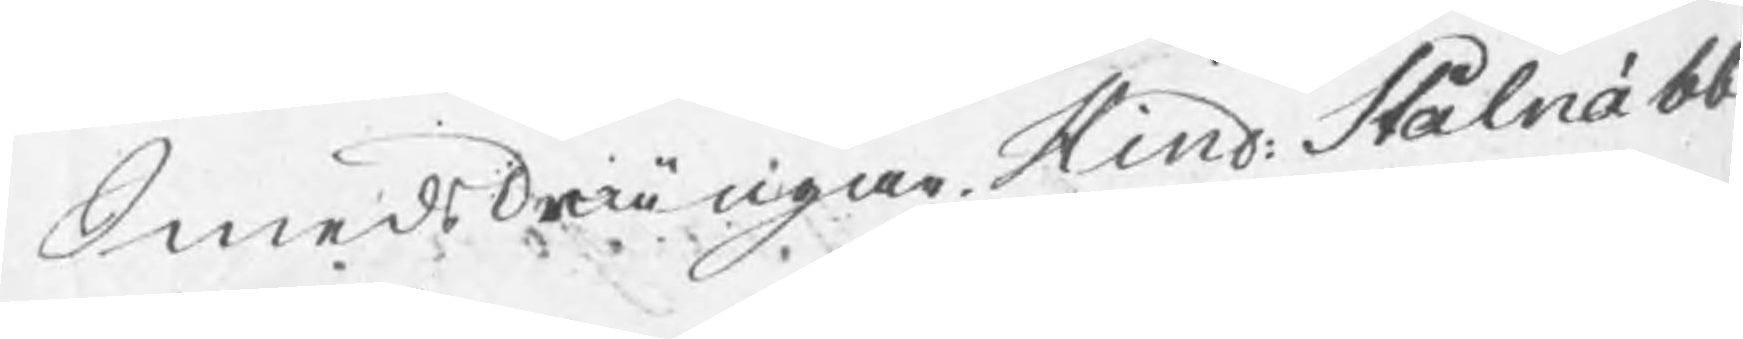Smedsdrängar Hind: Stålnäbb.
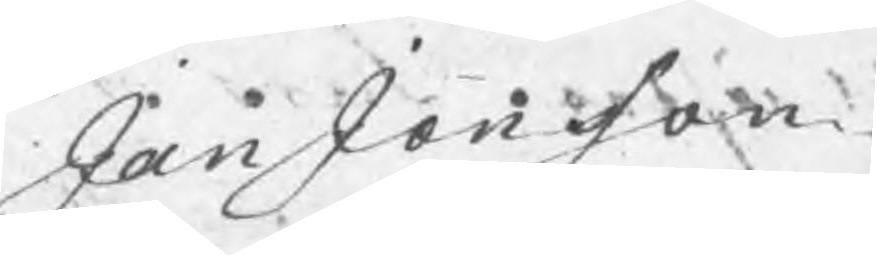Jan Jonsson.
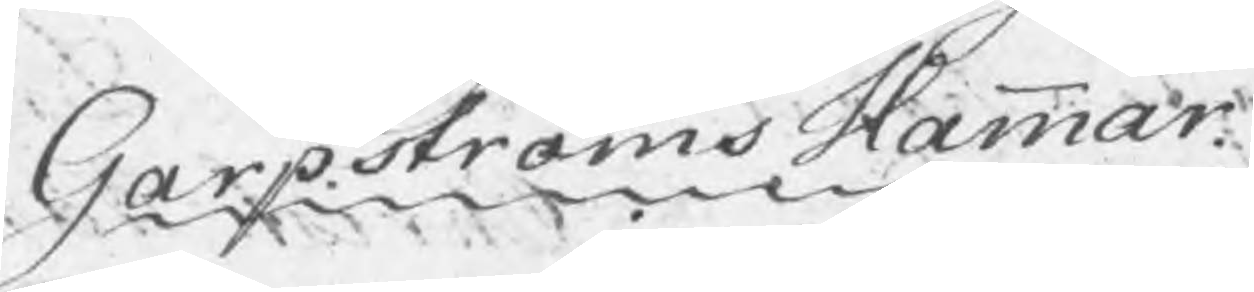Garpströms Hammar
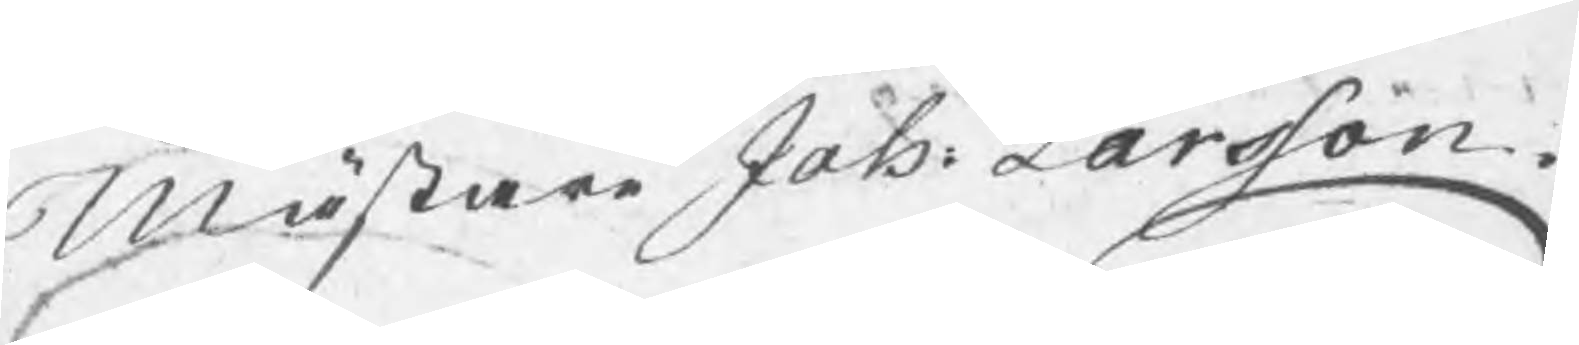Mästare Joh: Larsson
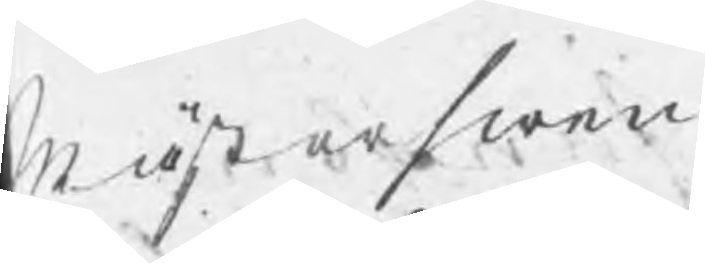Mästerswen
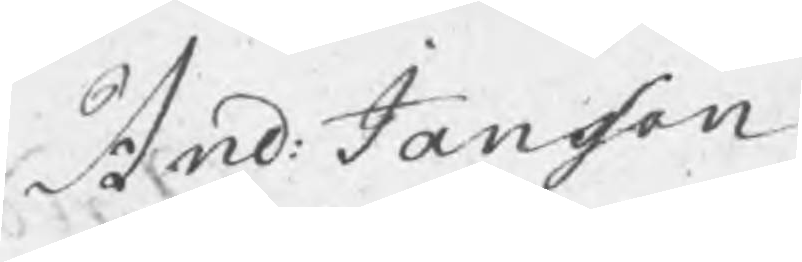And: Jansson
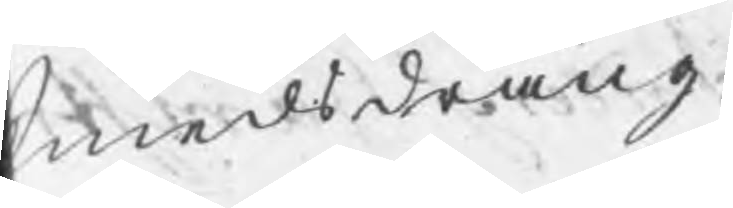Smedsdräng
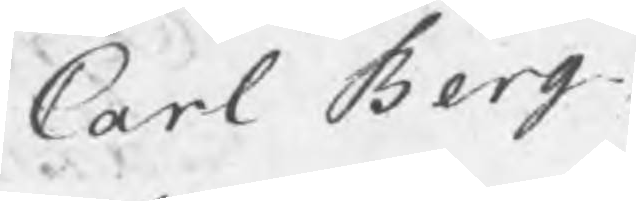Carl Berg
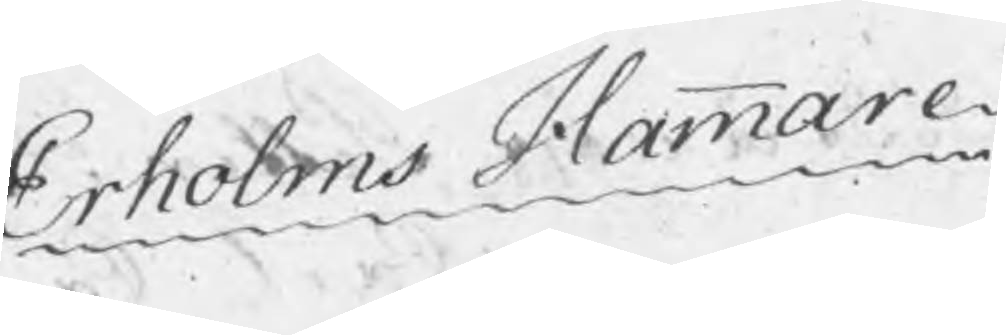Erholms Hammare.
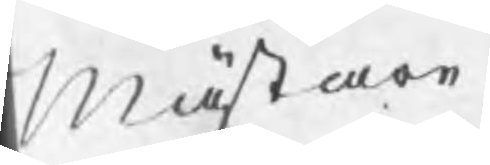Mästare
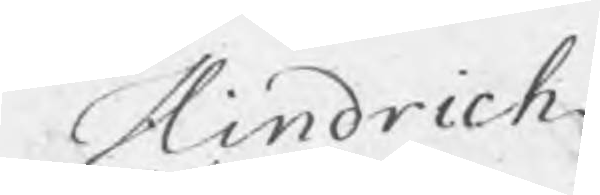Hindrich
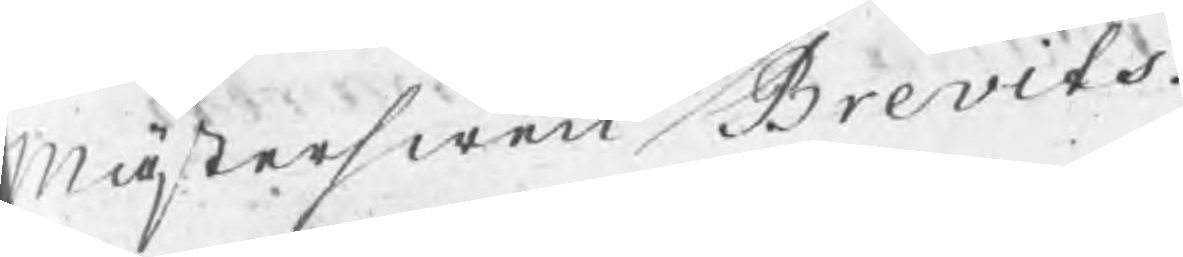Mästerswen Brevits
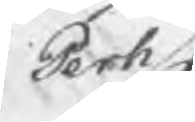Perh
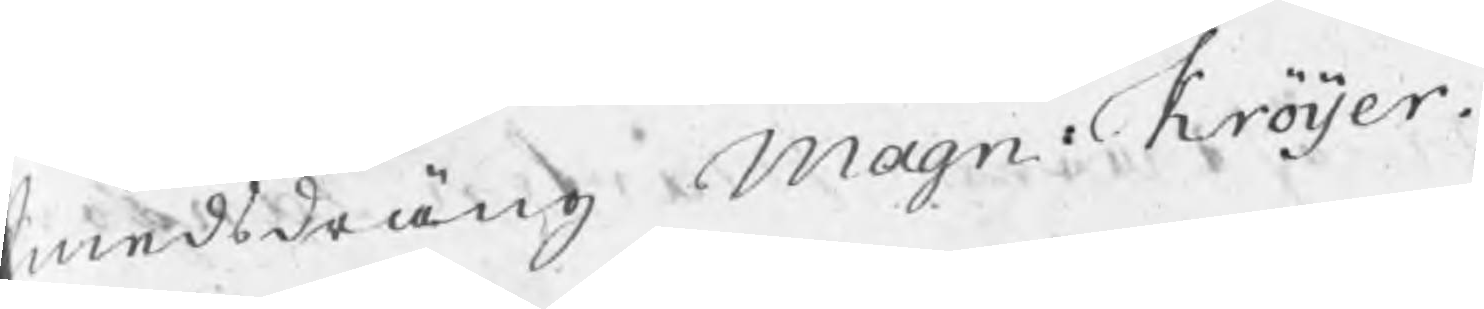Smedsdräng Magn. Kröijer.
